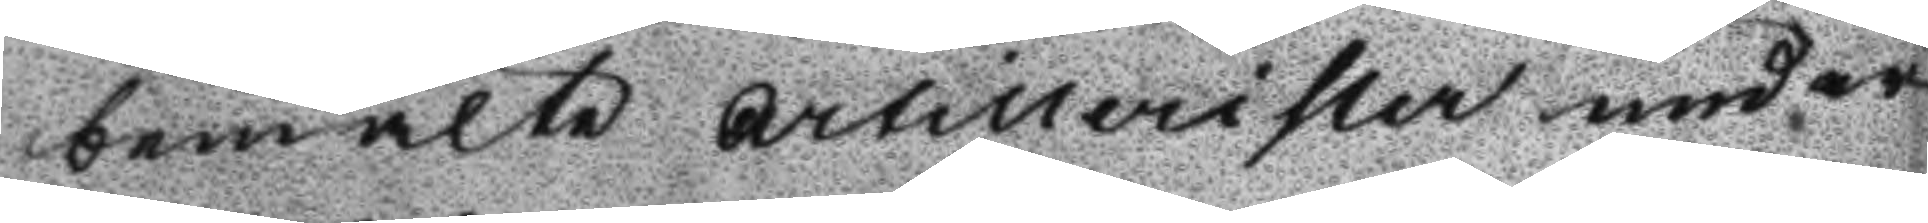bemelte Artillerister under
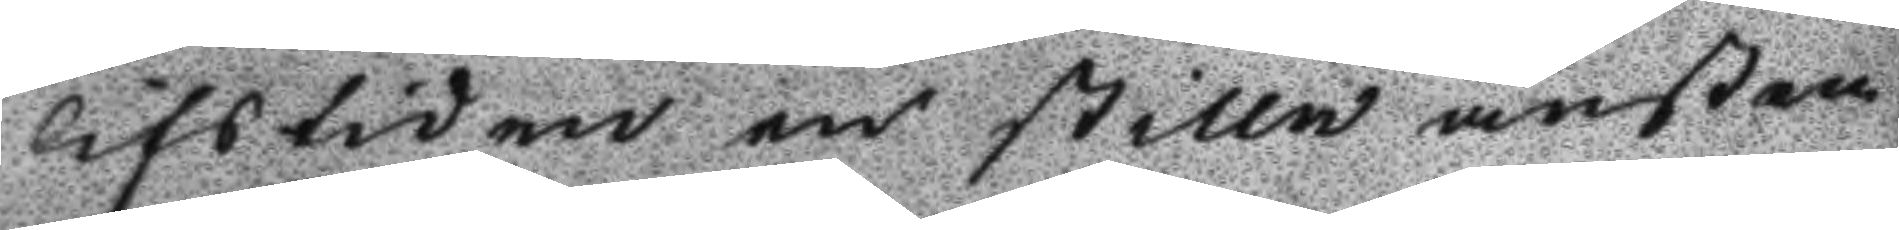lifstiden en stilla ansten
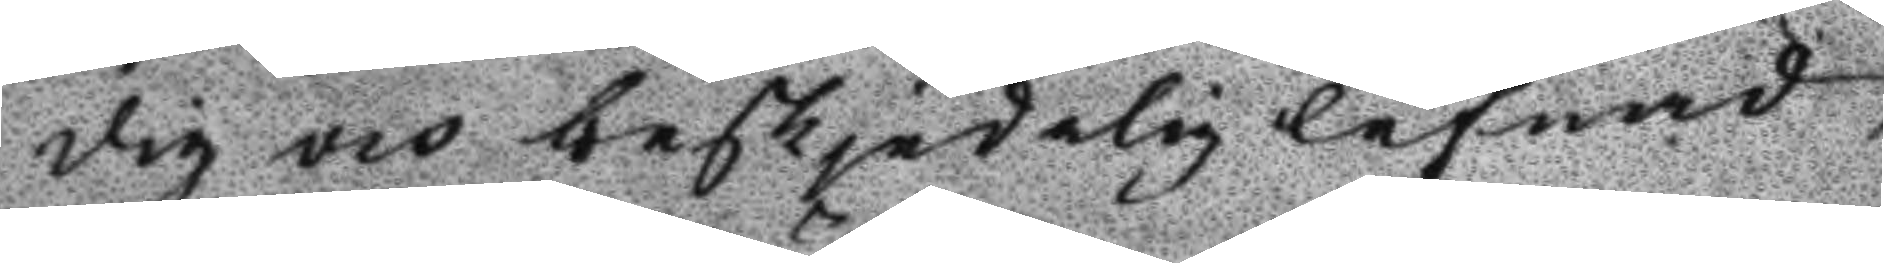dig och beskjedelig lefnad
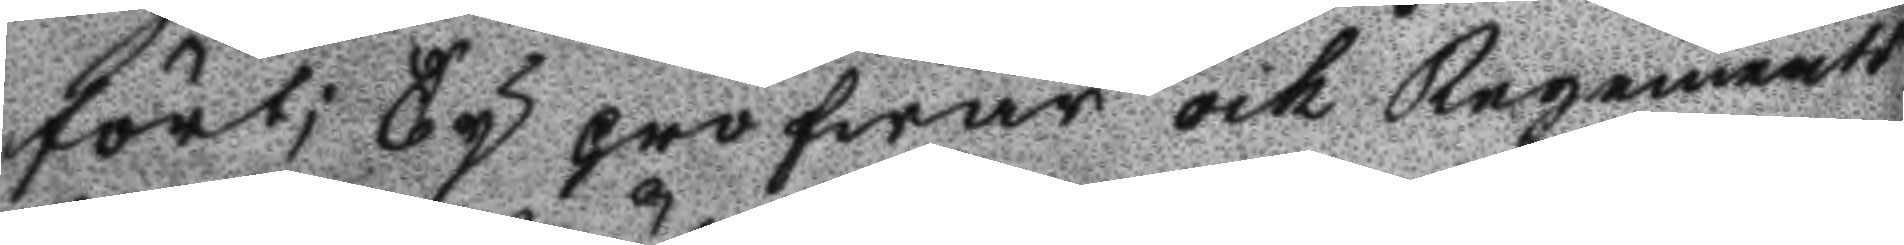fört; Ty pröfwar och Regements
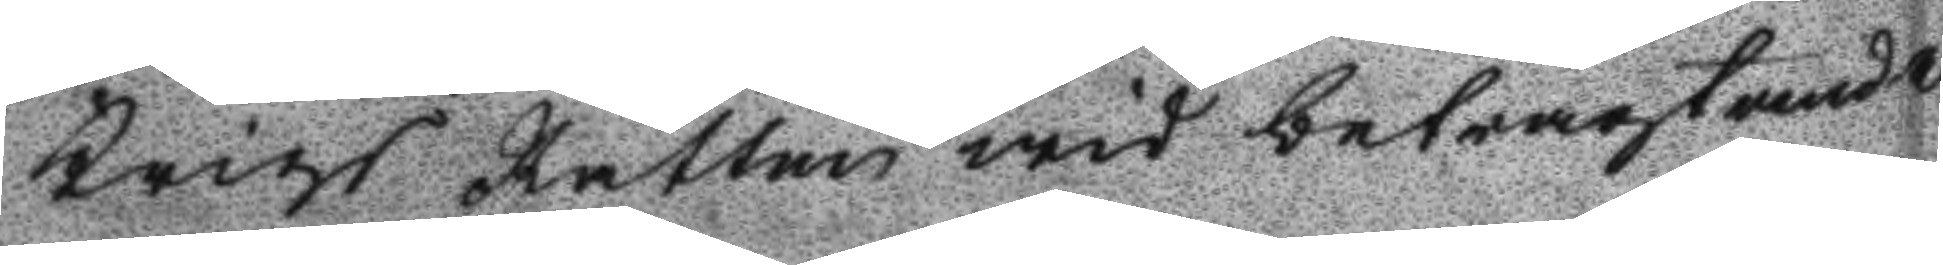Krigs Rätten wid betragtande
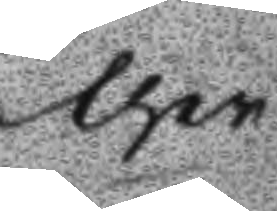ther
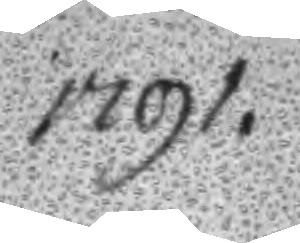1791.
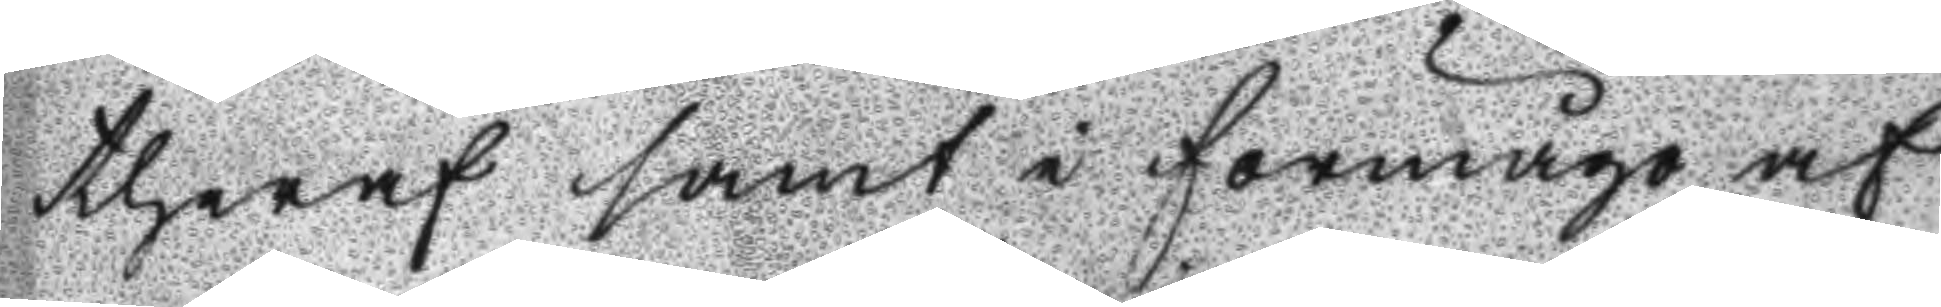theraf samt i förmågo af
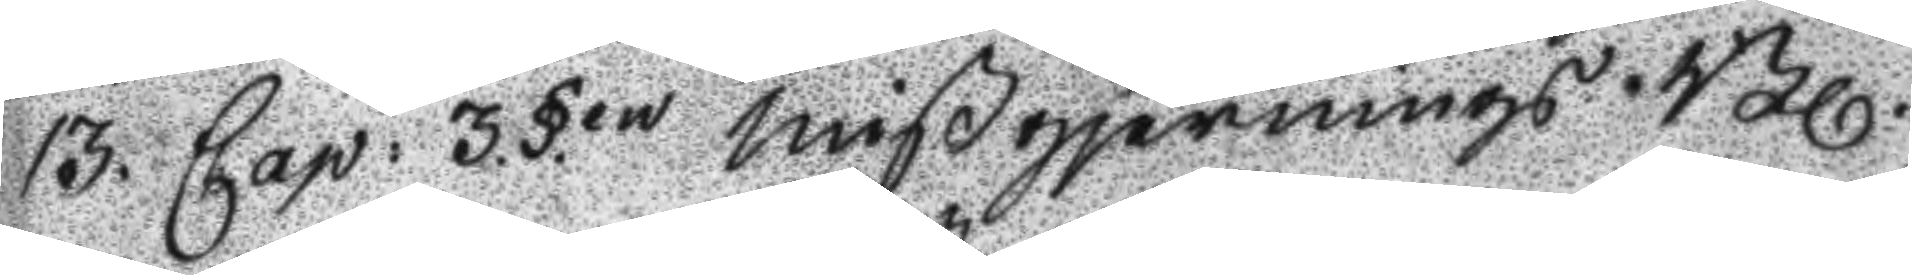13. Cap: 3.§.en mißgjernngs Bl.
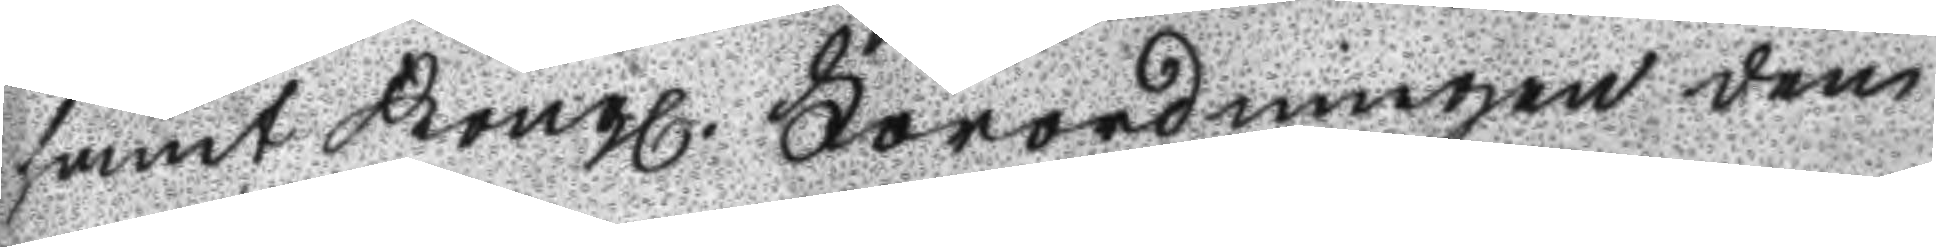samt Kongl. Förordningen den
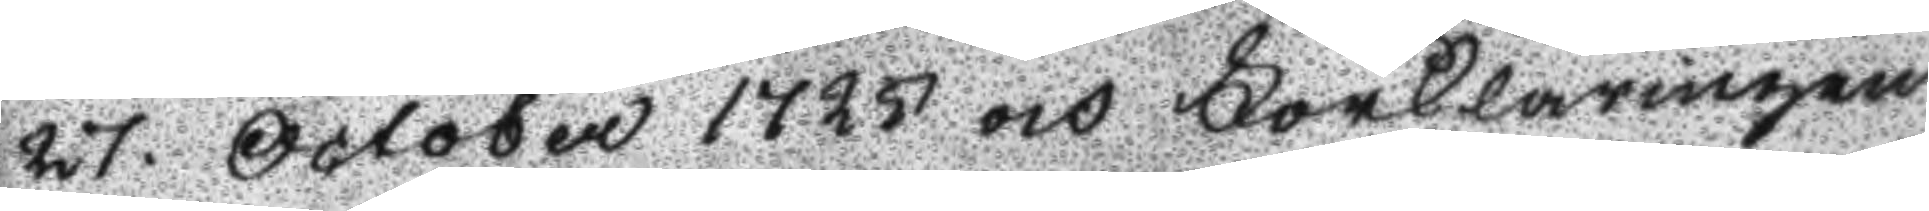27. October 1725 och Förklaringen
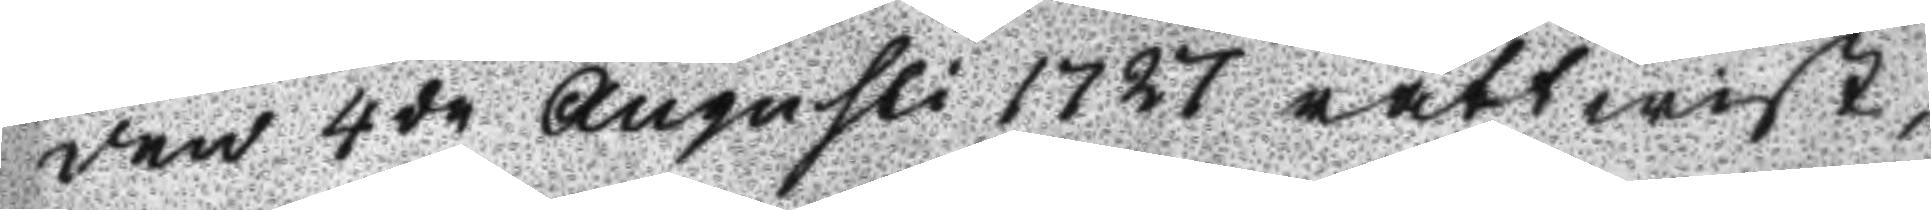den 4de Augusti 1727 rättwist,
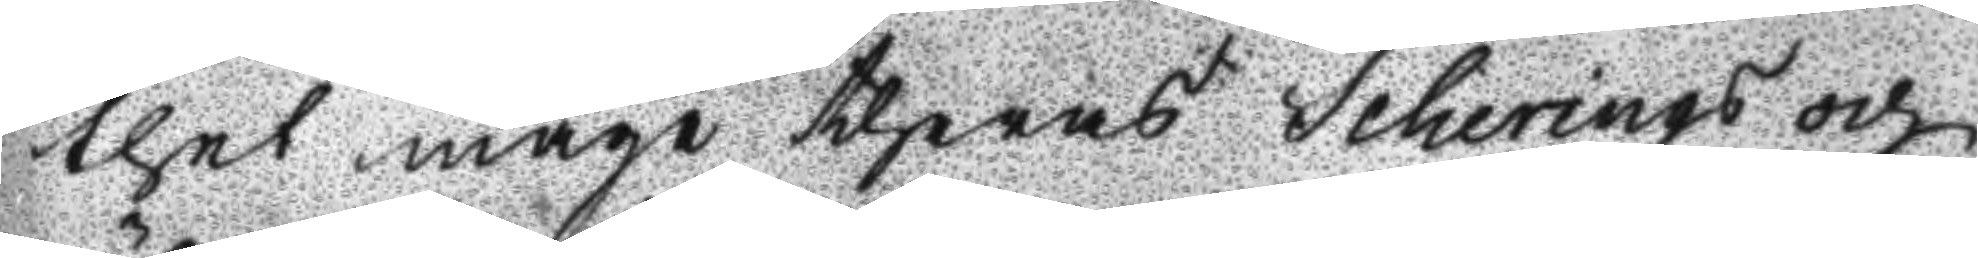thet måge theras Scherings och
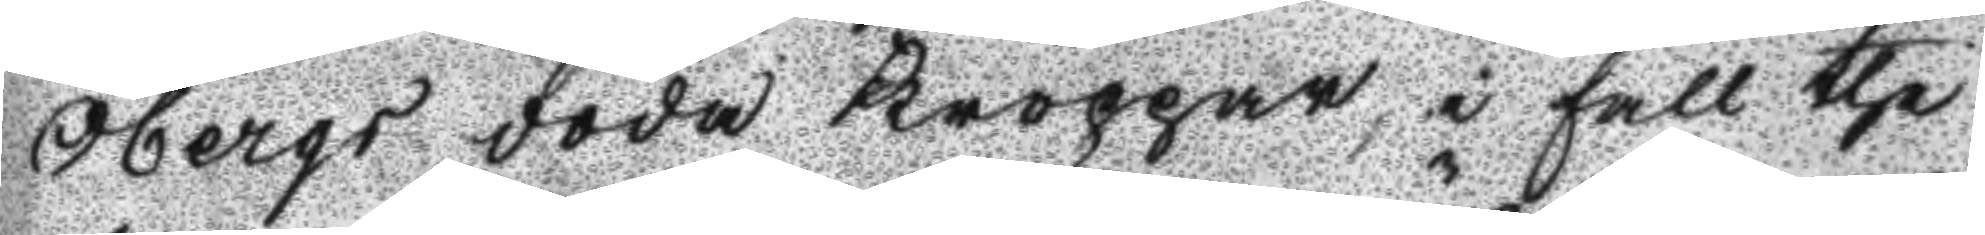Öbergs döda Kroppar, i fall the
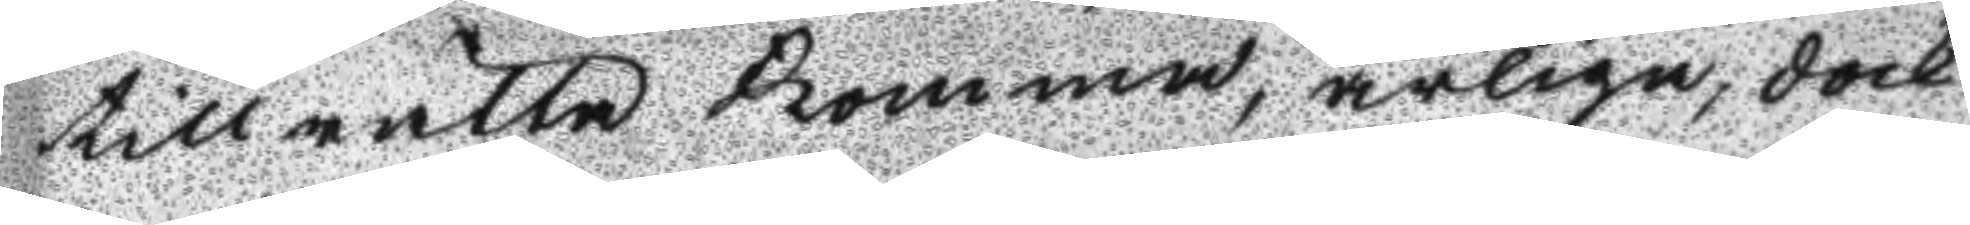tillrätta komma, ärliga, dock
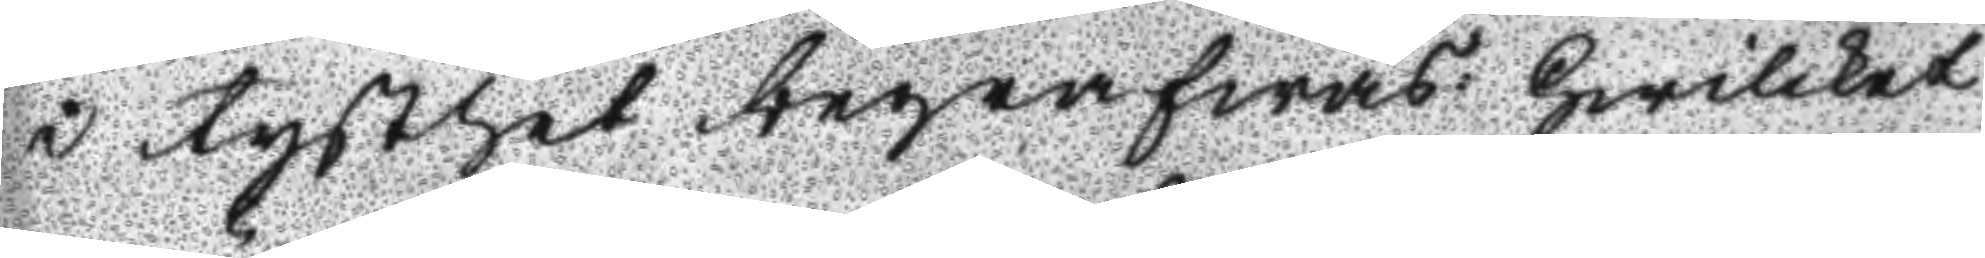i tysthet begrafwas: Hwilket
